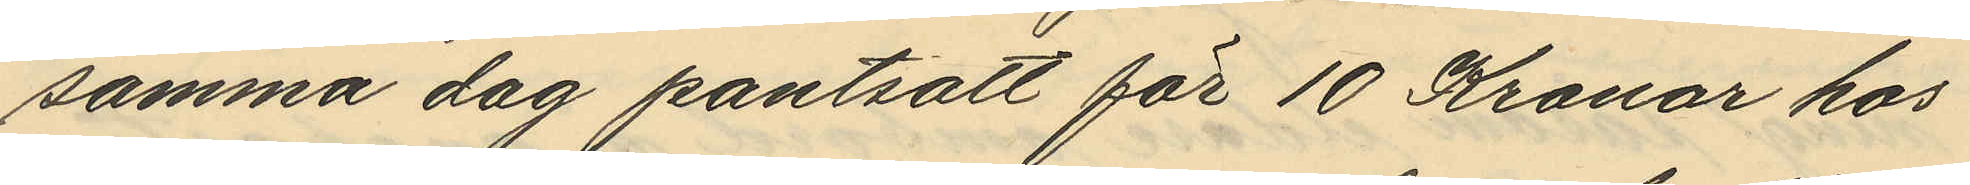samma dag pantsatt för 10 Kronor hos
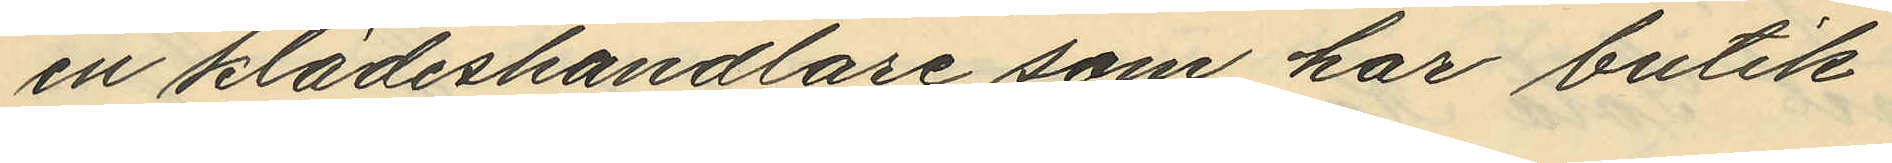en klädeshandlare som har butik
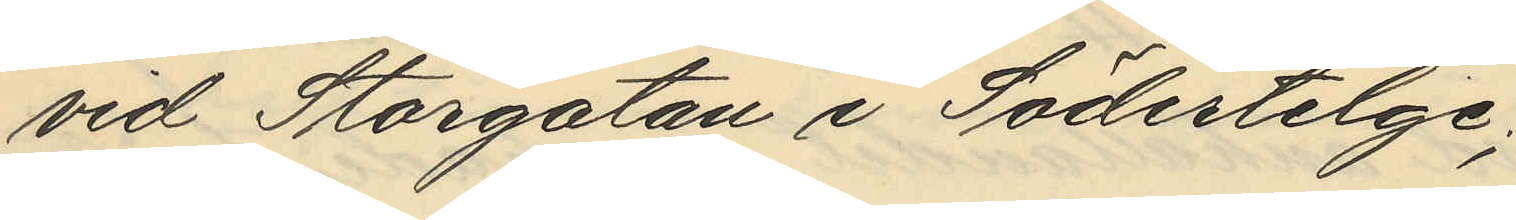vid Storgatan i Södertelge;
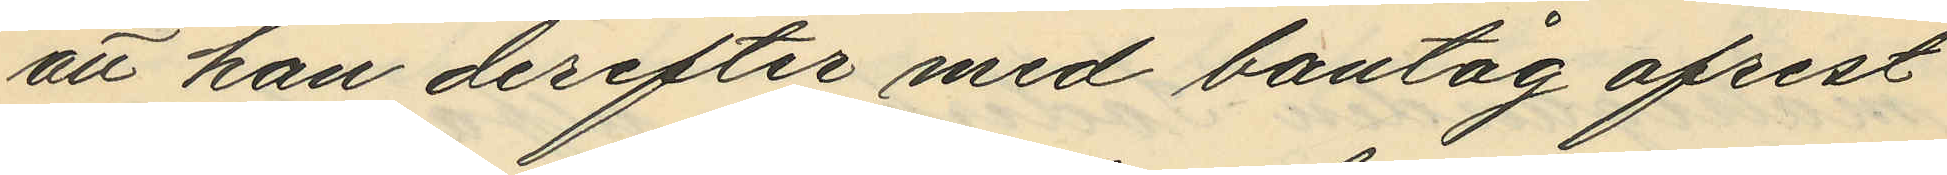att han derefter med bantåg afrest
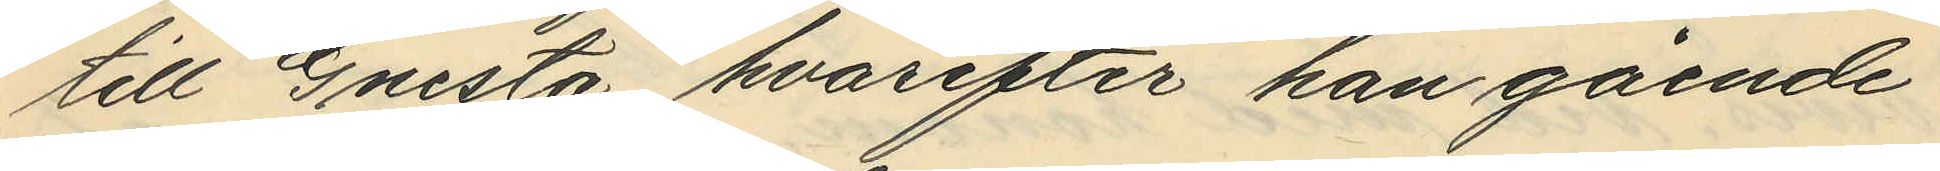till Gnesta hvarefter han gående
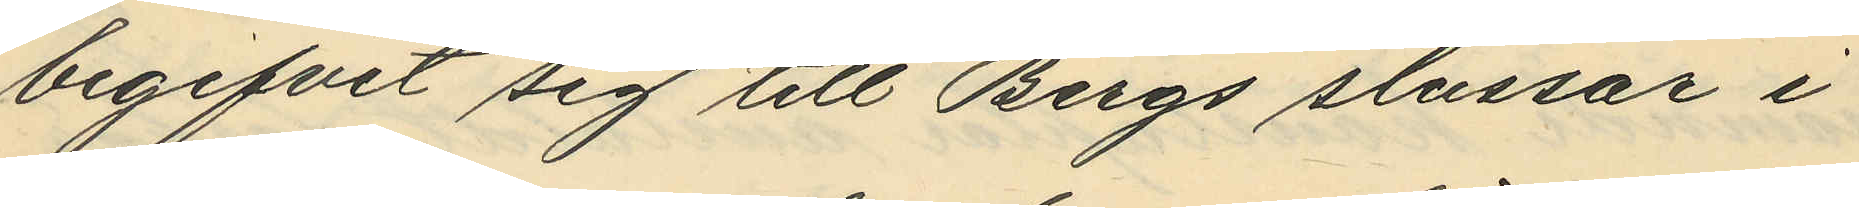begifvit sig till Bergs slussar i
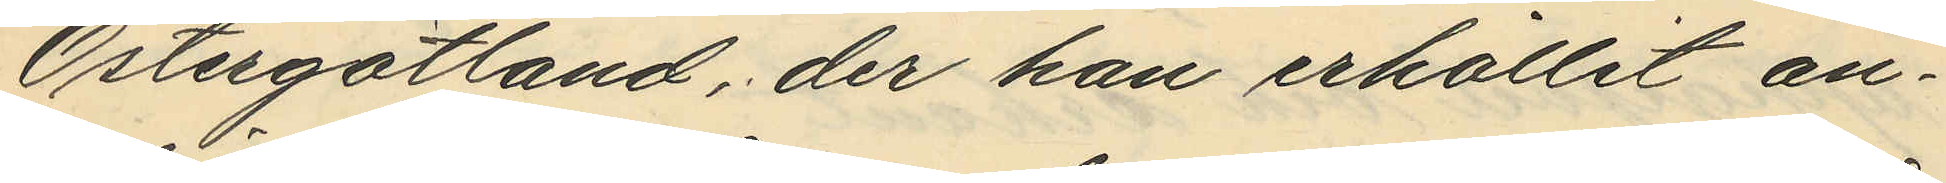Östergötland, der han erhållit an¬
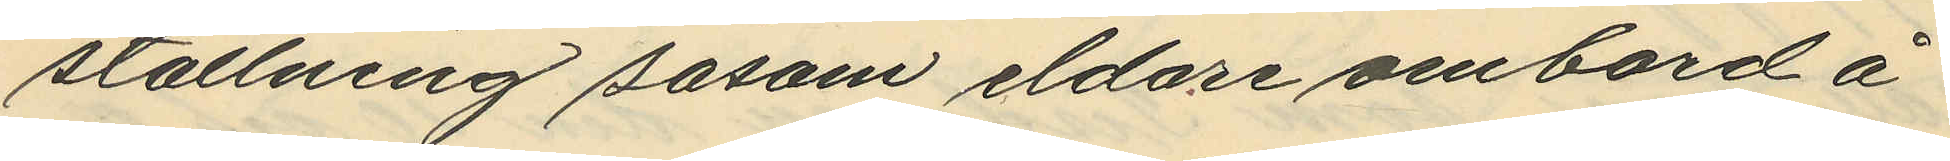ställning såsom eldare ombord å
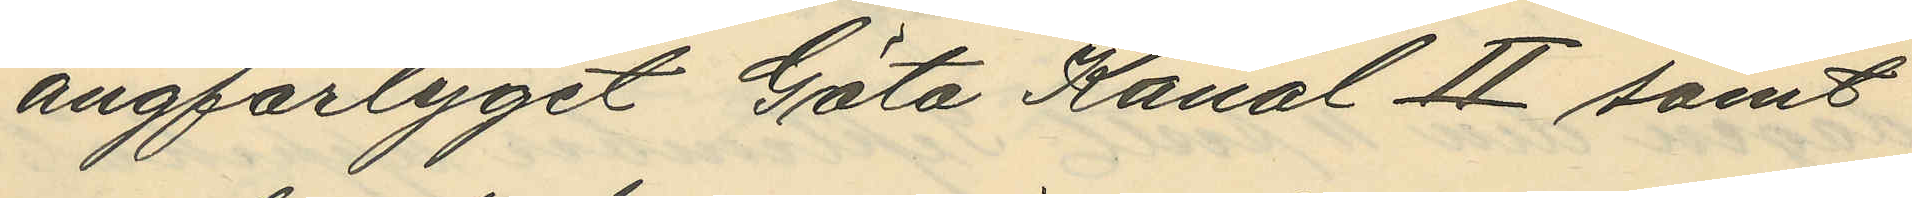ångfartyget Göta Kanal 2 samt
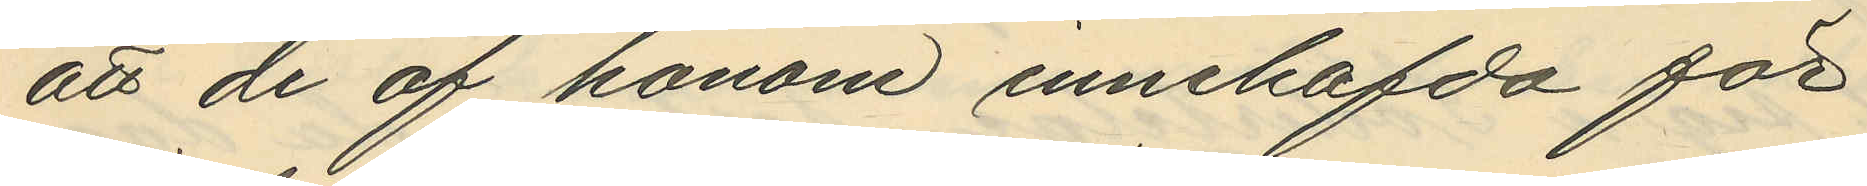att de af honom innehafda för
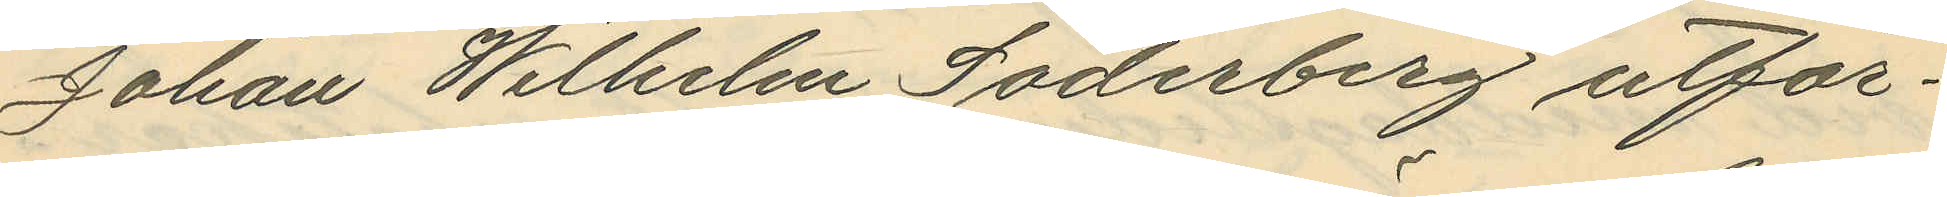Johan Wilhelm Söderberg utfär¬
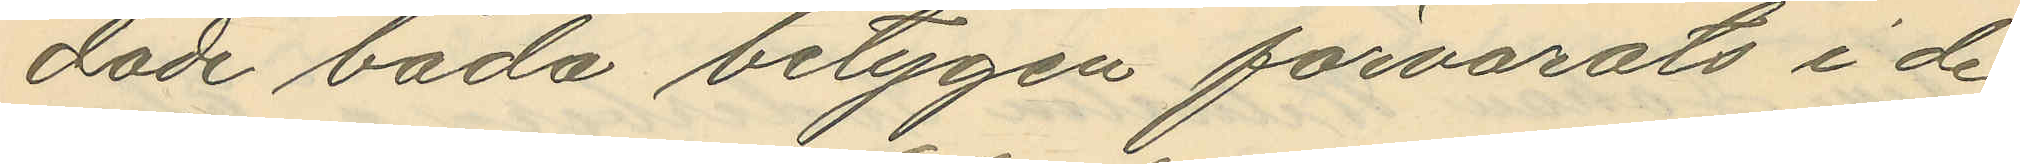dade båda betygen förvarats i de
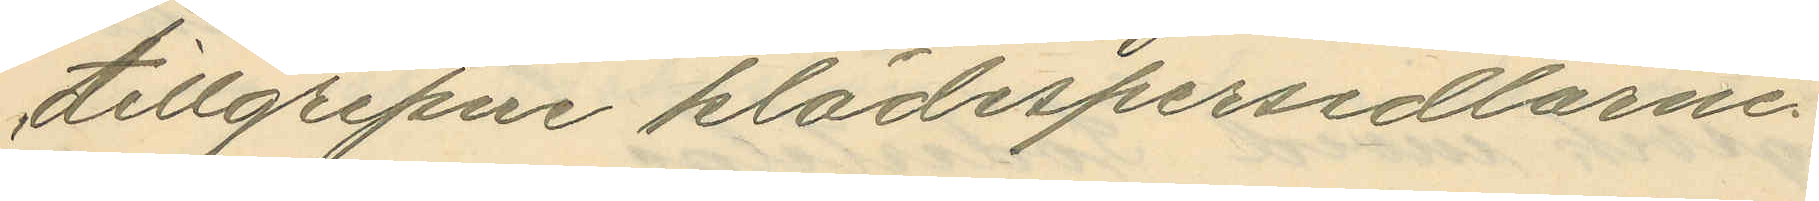tillgripne klädespersedlarne
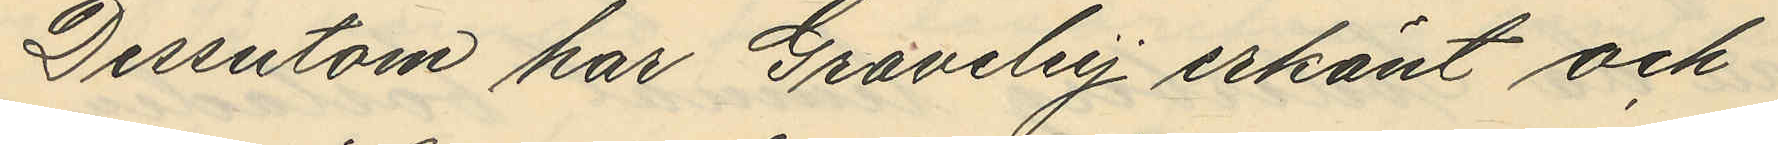Dessutom har Graveley erkänt och
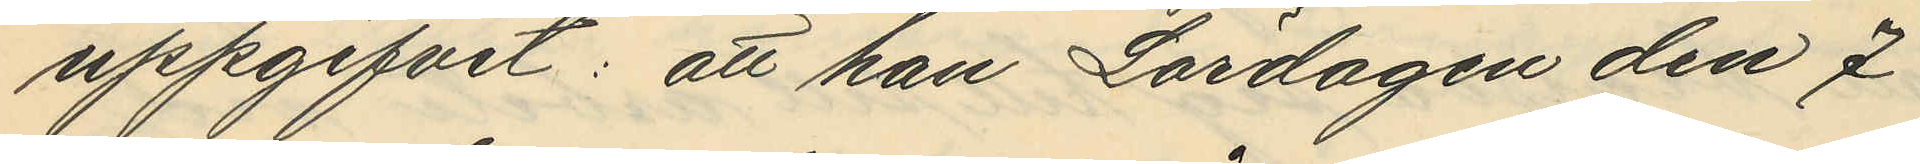uppgifvit: att han Lördagen den 7
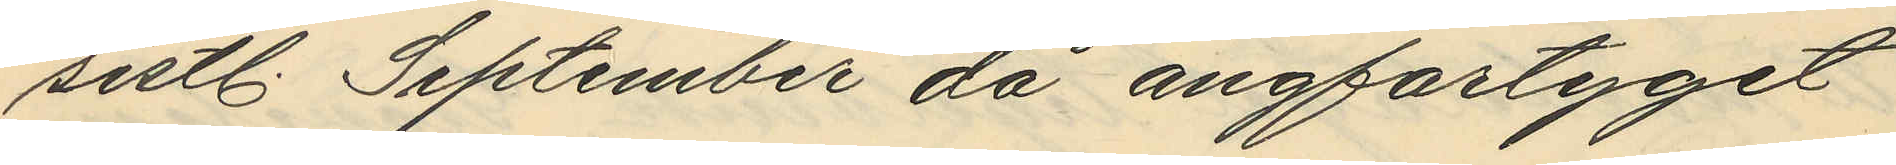sistl. September då ångfartyget
